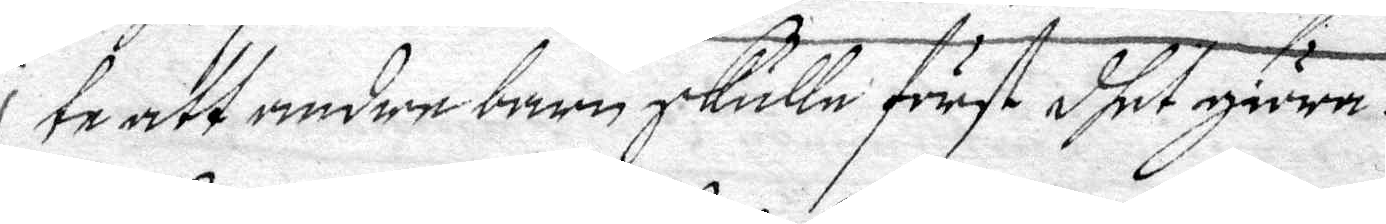te att andre barn skulle först dhet giöra.
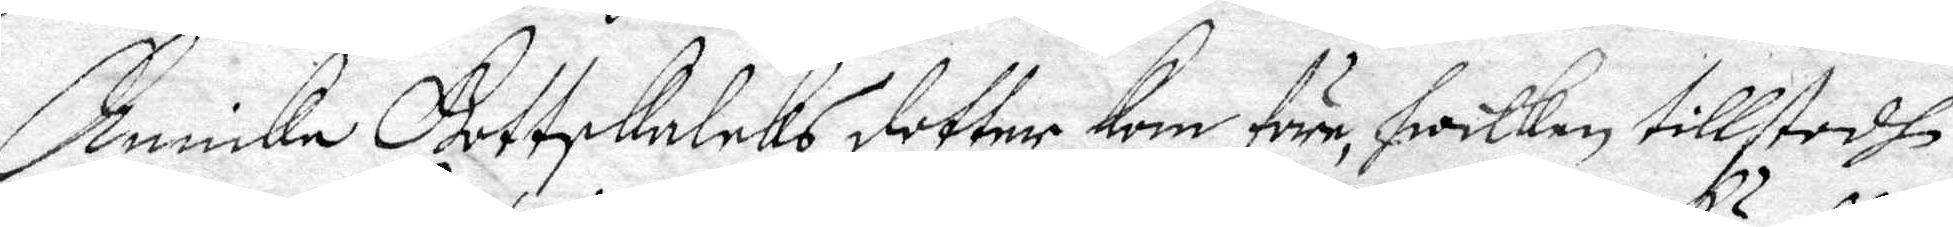Annicka Gottskaleks dotter Kom före, hwilken tillstodh
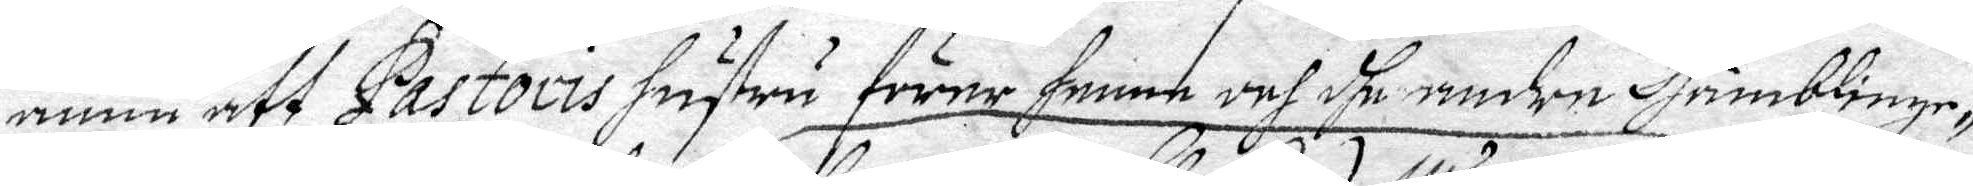ännu att Pastoris hustru förer henne och dhe andre Humblinge¬
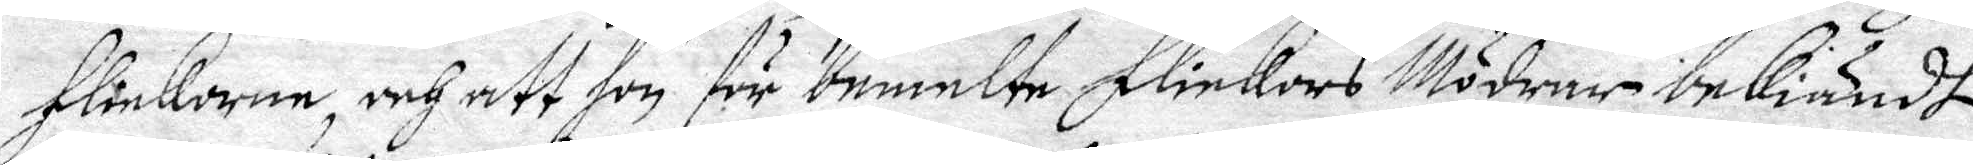flickorne, och att hon för bemelte flickors Mödrar bekiändt
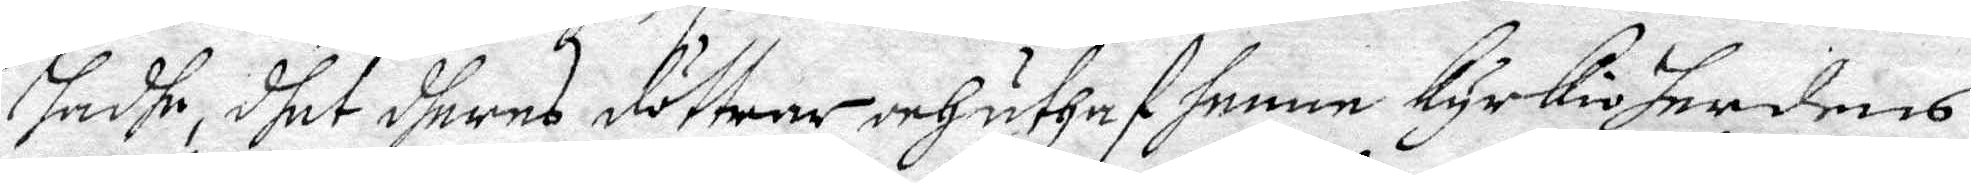hadhe, dhet dheras dötttrar och uthaf henne kyrkioherdens
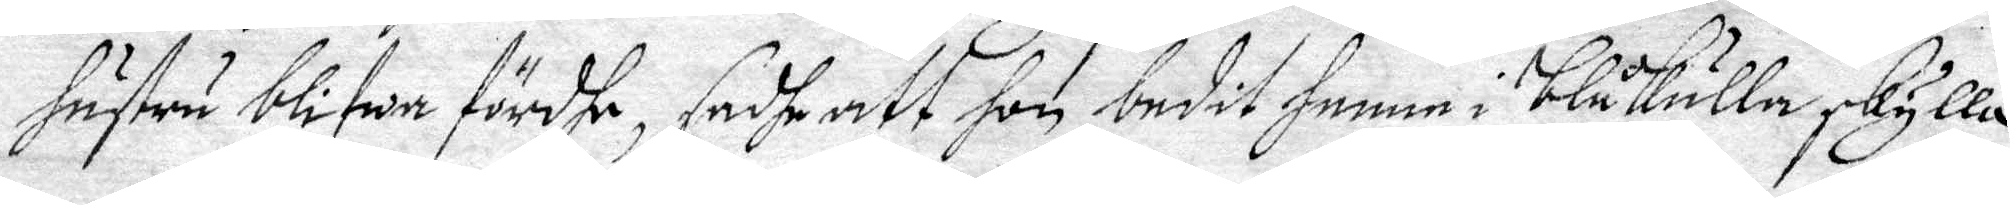hustru blifwa fördhe, sadhe att hon budit henne i Blåkulla skylla
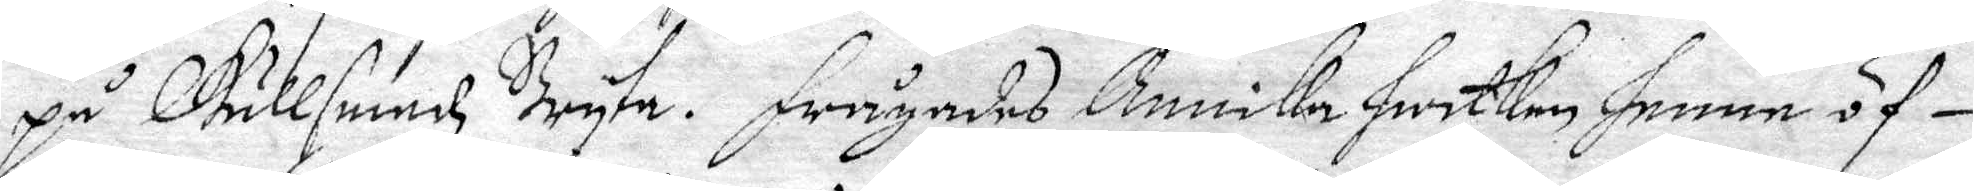på Gullsmedz Bryta. Frågades Annicka hwilken henne öf¬
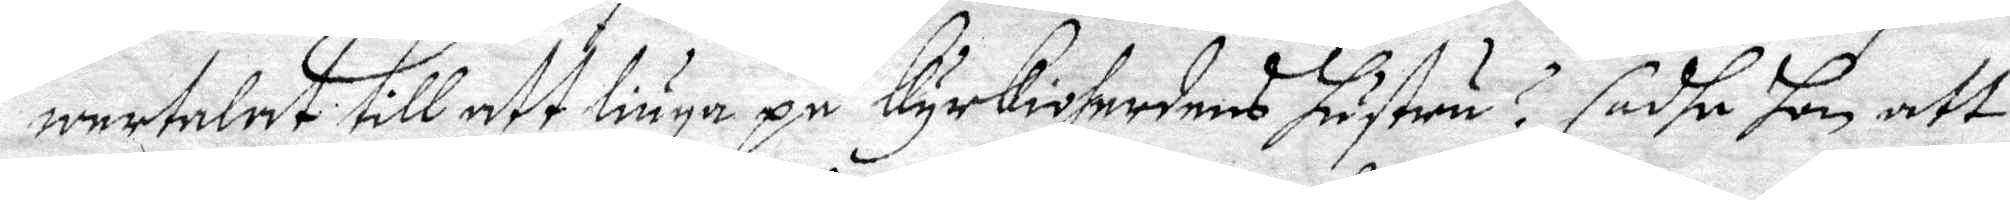wertalet till aft liuga på Kyrkioherdens hustru? sadhe hon att
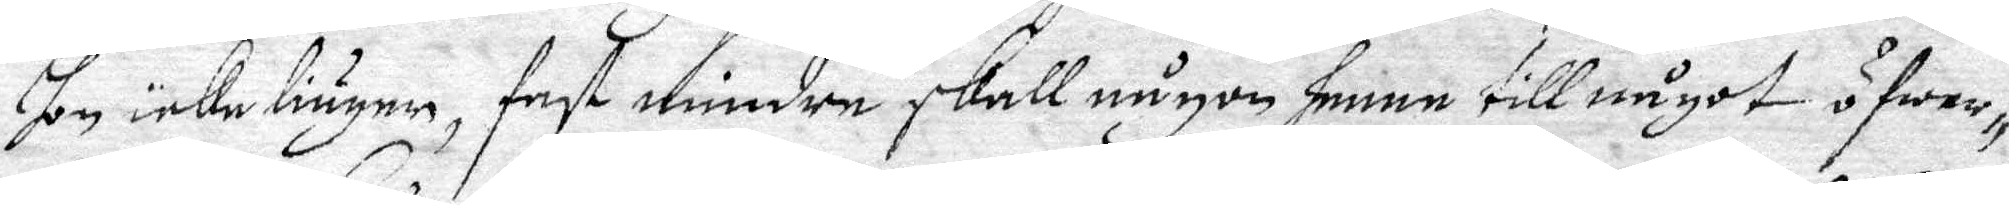hon icke liuger, fast mindre skall någon henne till något öfwer¬
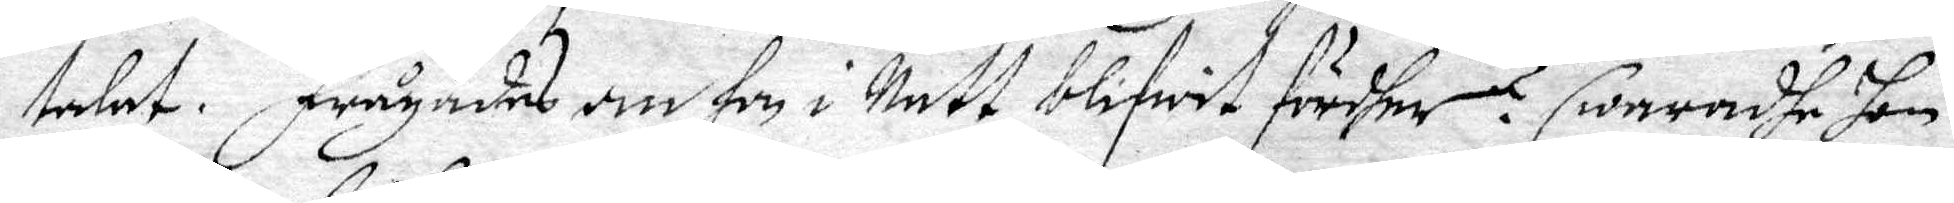talat. Frågades om hon i Natt blifwit fördher? Swaradhe hon
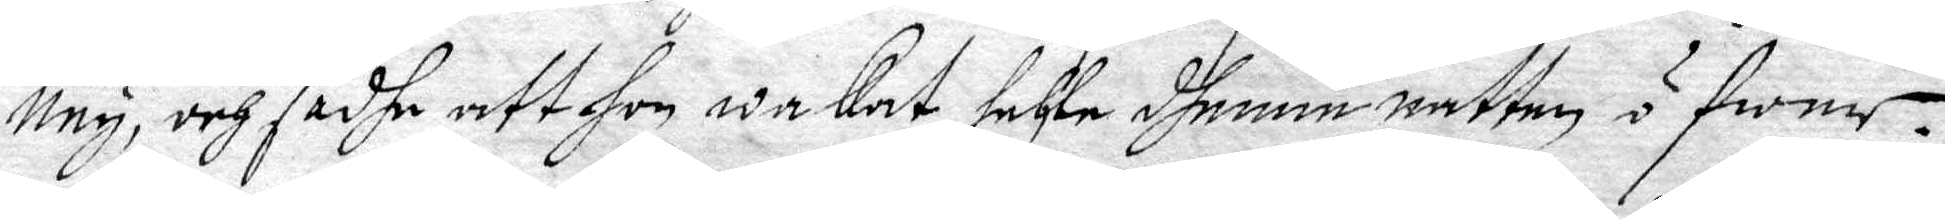Ney, och sadhe att hon wakat hehle dhenne natten öfwer.
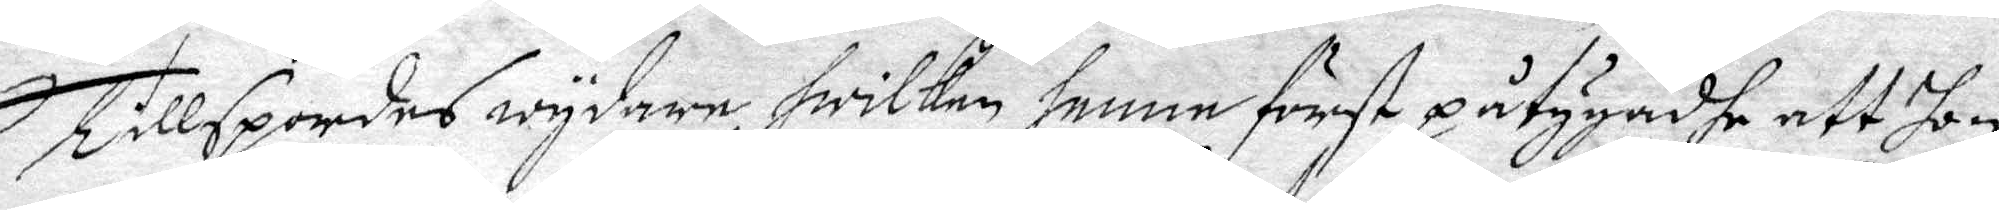Tillspordes wydare, hwilken henne först påtygadhe att hon
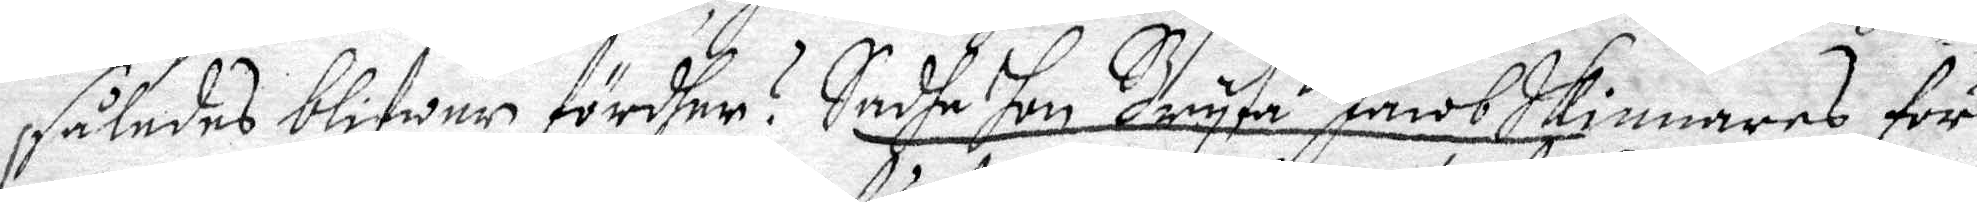således blifwer fördher? Sadhe hon Bryta Jacob Skinnares för
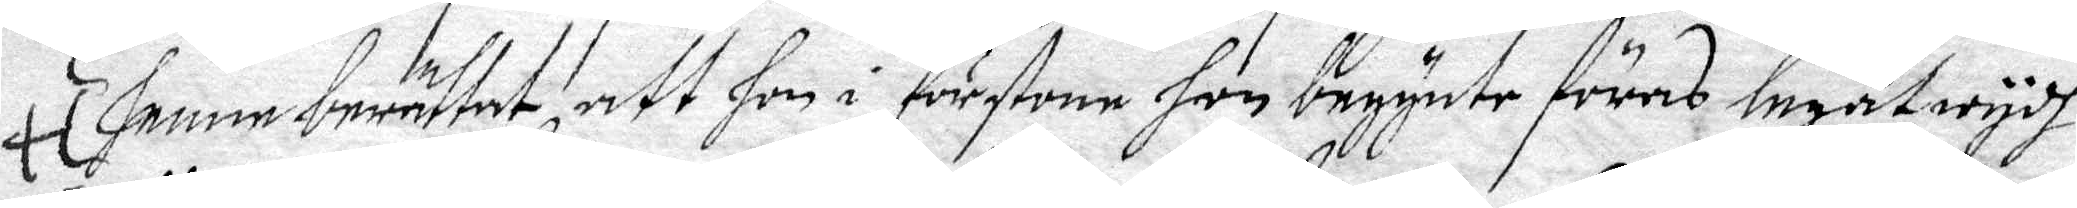	henne beräftat att hon i förstone hon begynte föras legat wydh
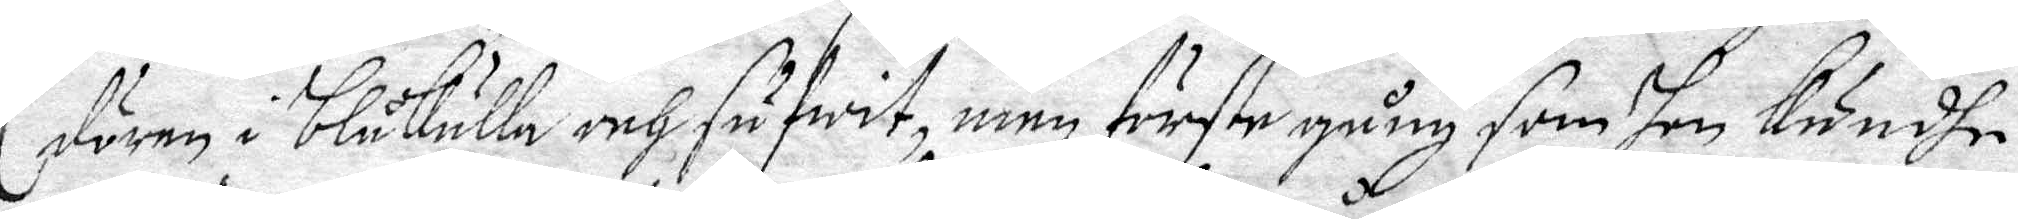dören i Blåkulla och sufwit, men förste gång, som hon Kundhe 
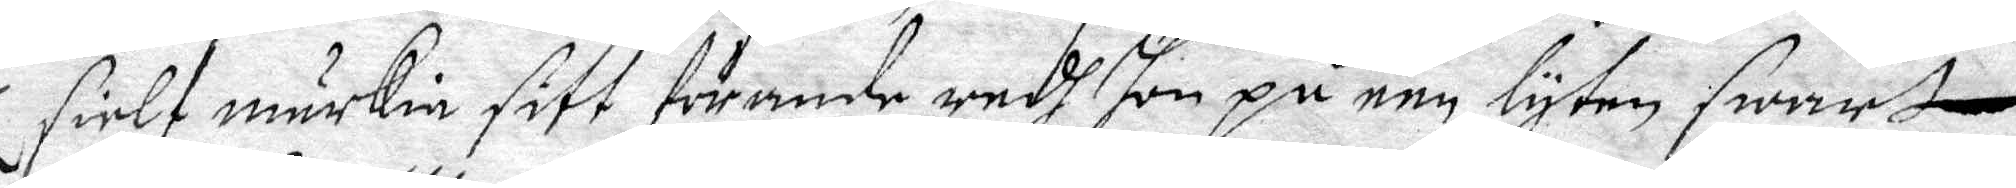sielf märkia sitt förande redh hon på een lyten swart 
